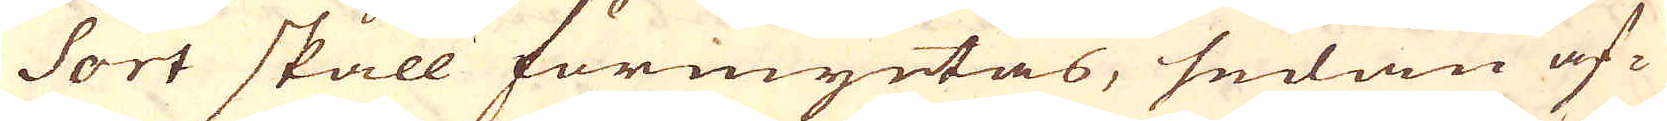Sort skall förmyntas, sedan af-
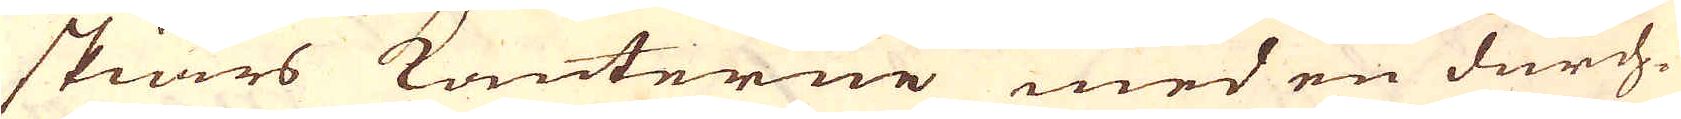skiärs kanterne med en durch-
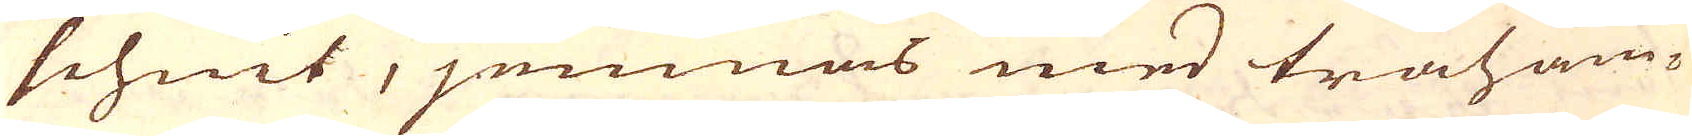schnit, jemnas med träham-
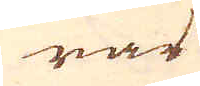rar
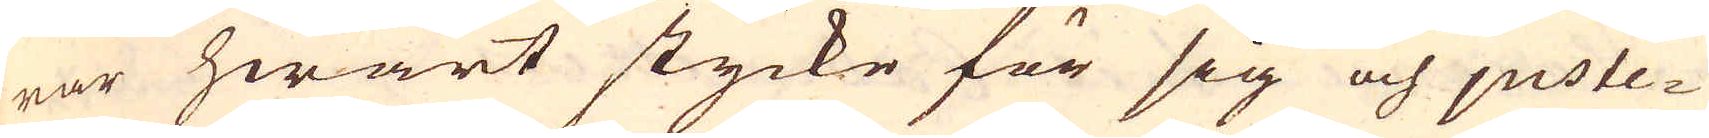rar hwart stycke för sig och juste-
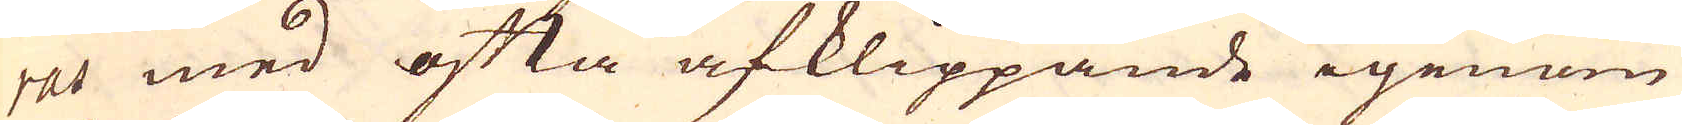ras med ofta afklippande igenom
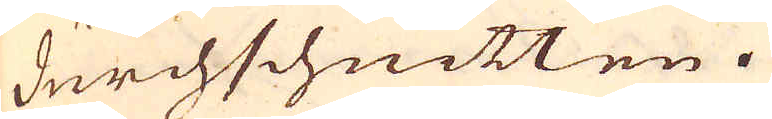durchschnitten.
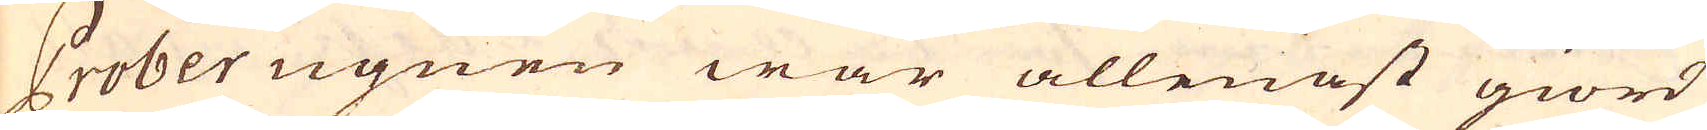Prober ugnen war allenast giord
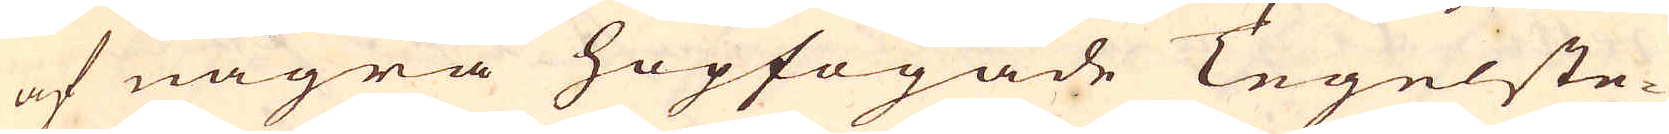af några hopfogade Tegelste-
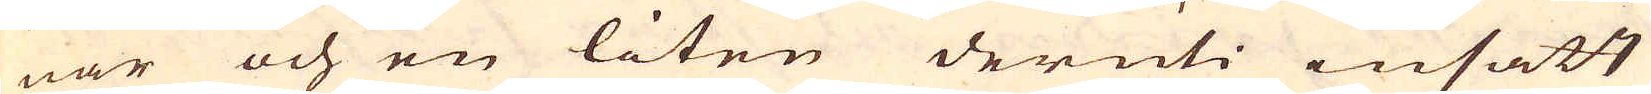nar och en liten deruti insatt
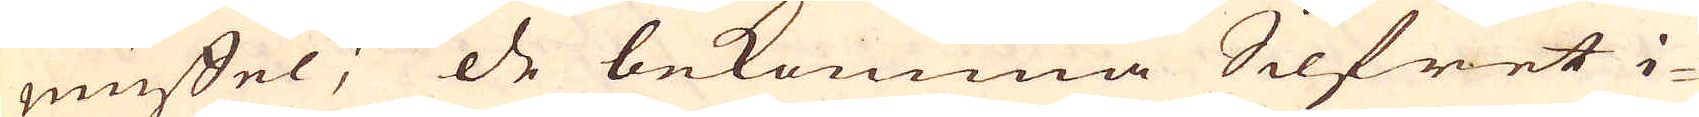muffel; de bekomma Silfret i-
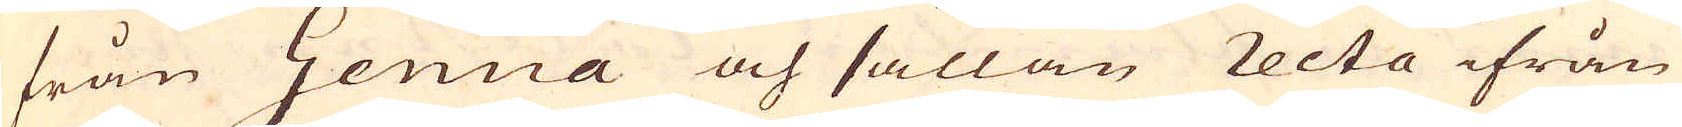från Genua och sällan recta ifrån
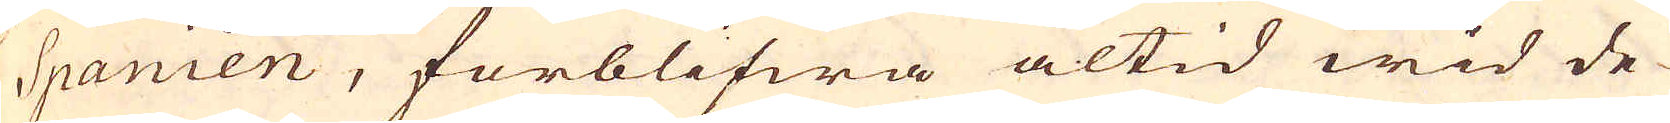Spanien, förblifwa altid wid de-
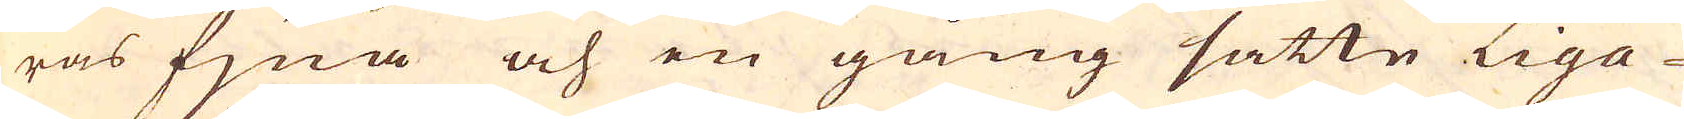ras fjna och en gång satte Liga-
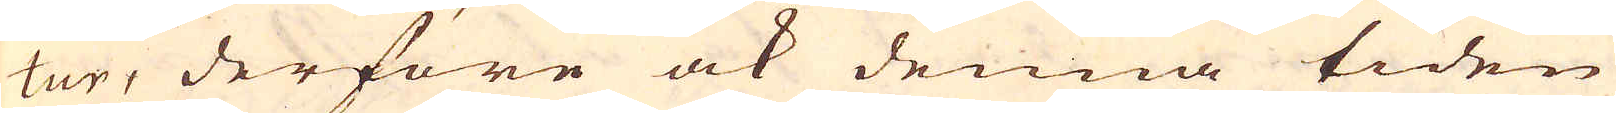tur, derföre ock denna tiden
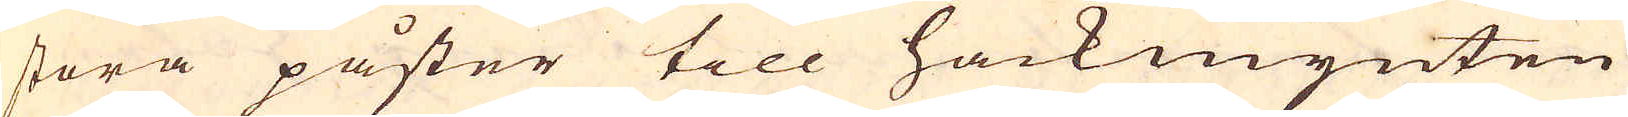stora påster till hackmynten
